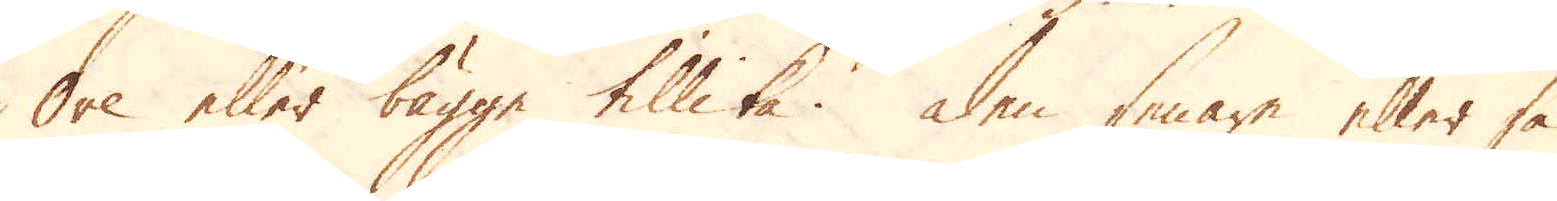Ore eller bägge tillika. Den senare eller så
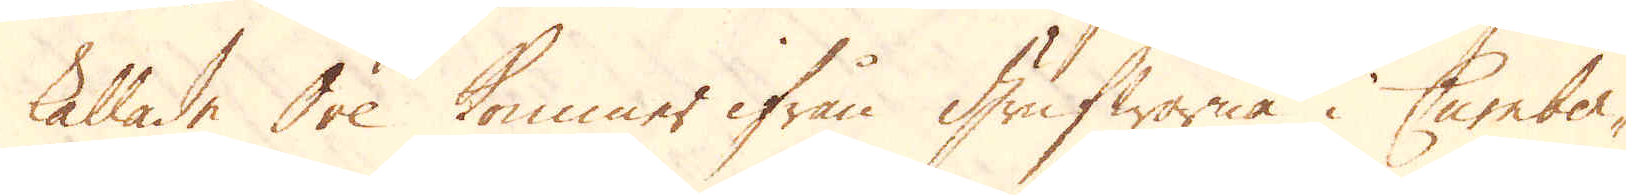kallade Ore kommer ifrån Grufworna i Cumber-
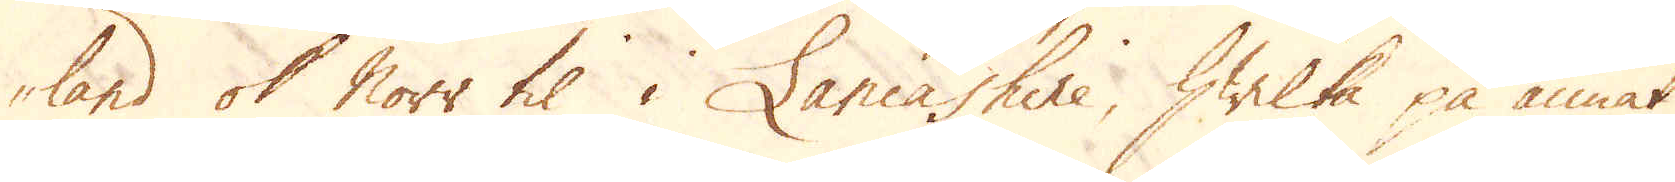land ok Norr til i Lancashire, hwilka på annat
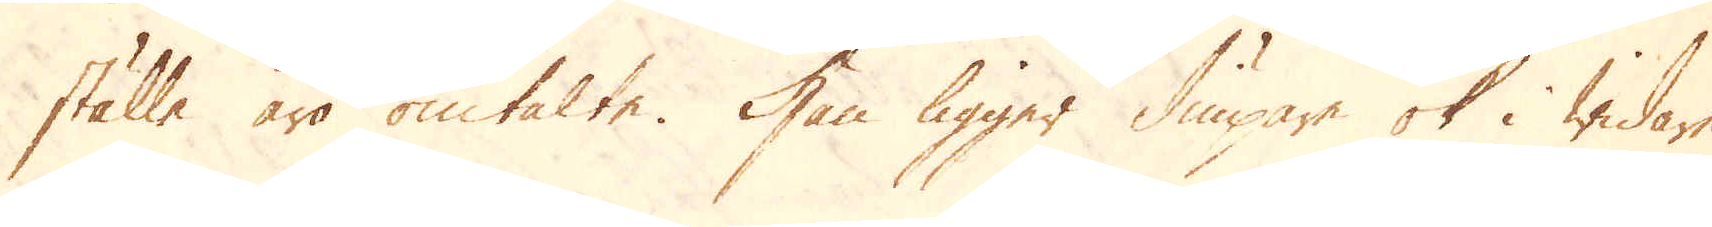ställe äro omtalte. Han ligger diupare ok i widare
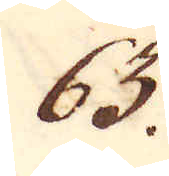63.
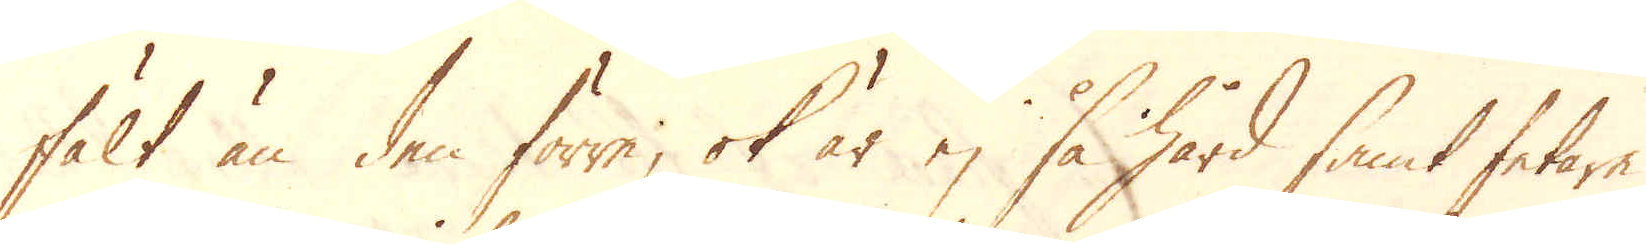fält än den förre; ok är ej så hård samt fetare
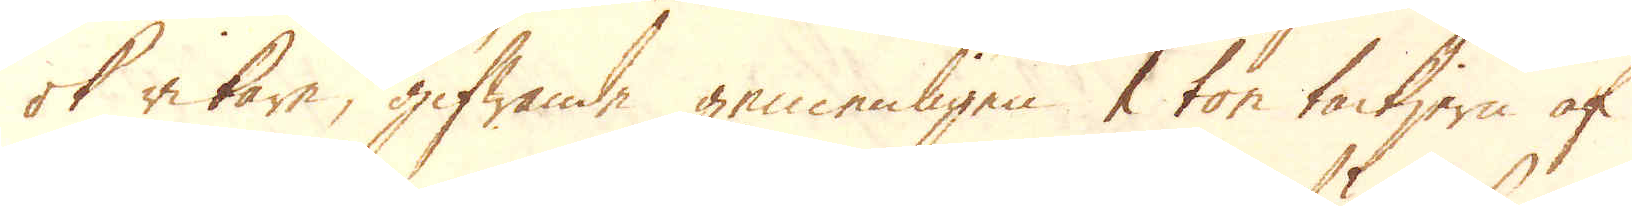ok rikare, gifwande gemenligen 1 ton tackjern af
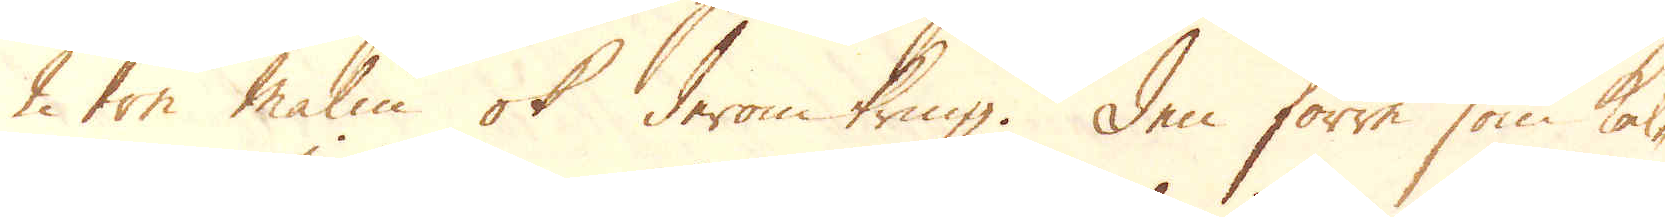2 ton malm ok derom kring. Den förre som kal-
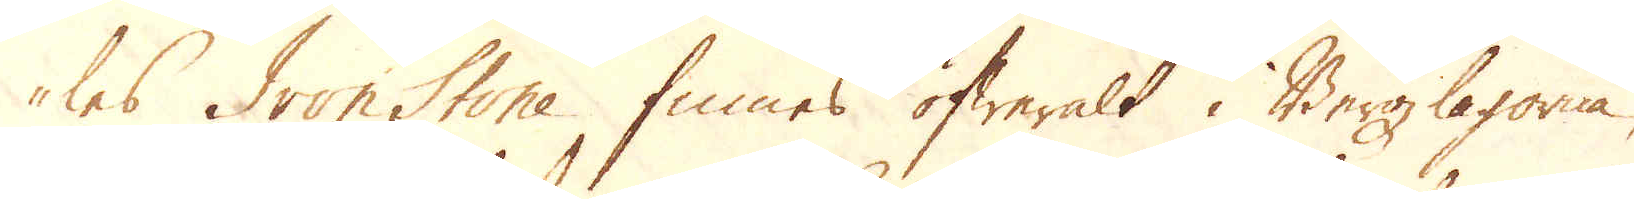les Iron Stone finnes öfweralt i Bergzlagorna,
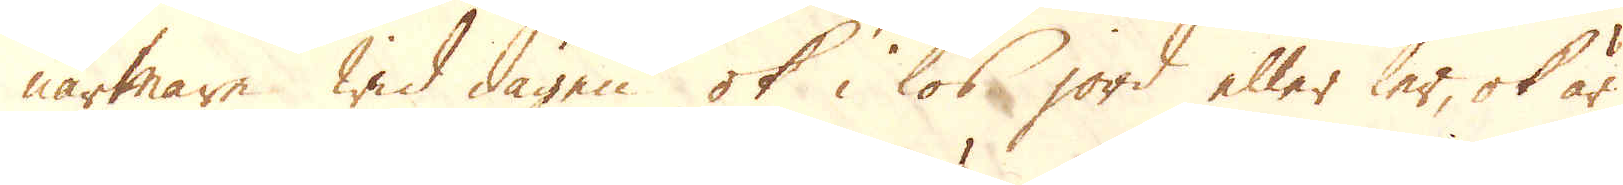närmare wid dagen ok i lös jord eller ler, ok är
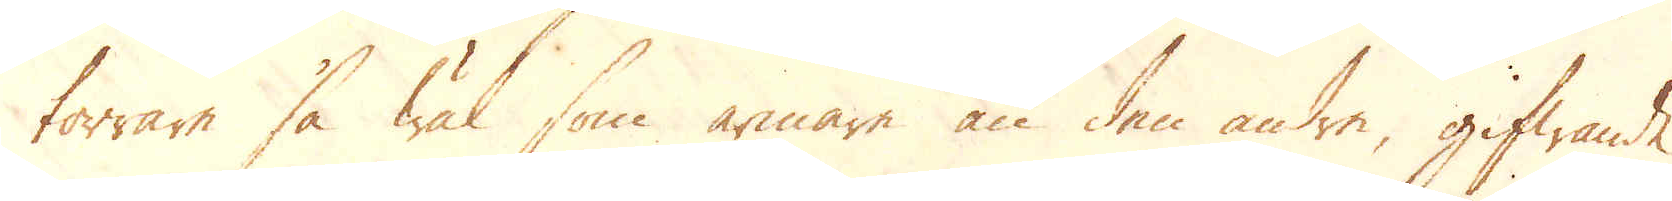torrare så wäl som armare än den andre, gifwande
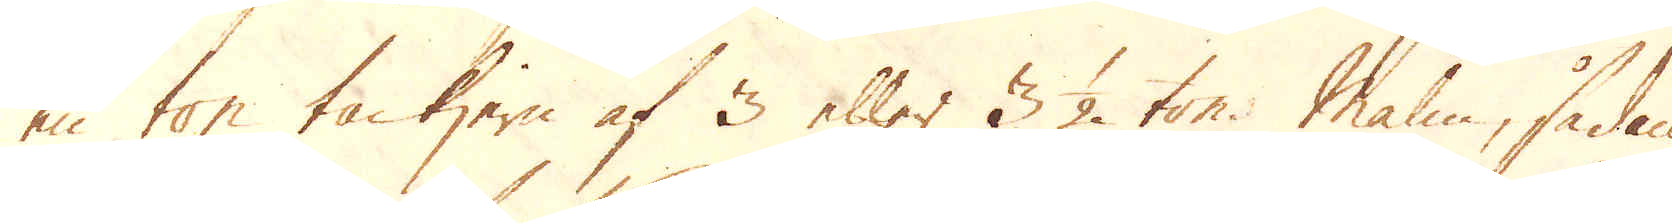en ton tackjern af 3 eller 3 1/2 ton. Malm, sådan
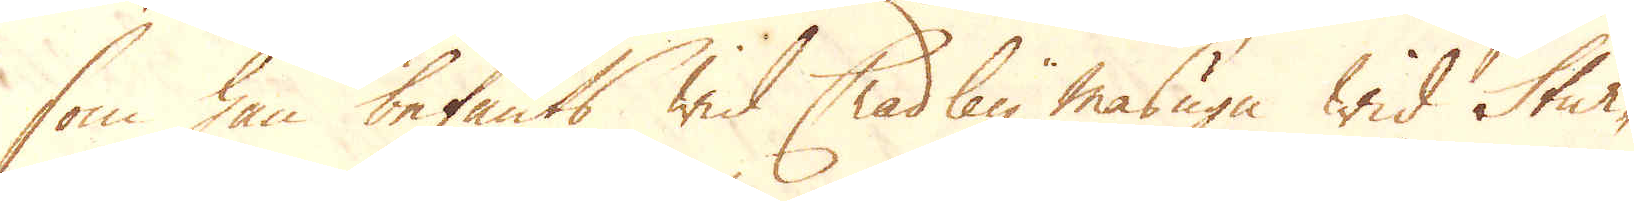som han befants wid Chadley masugn wid Stur-
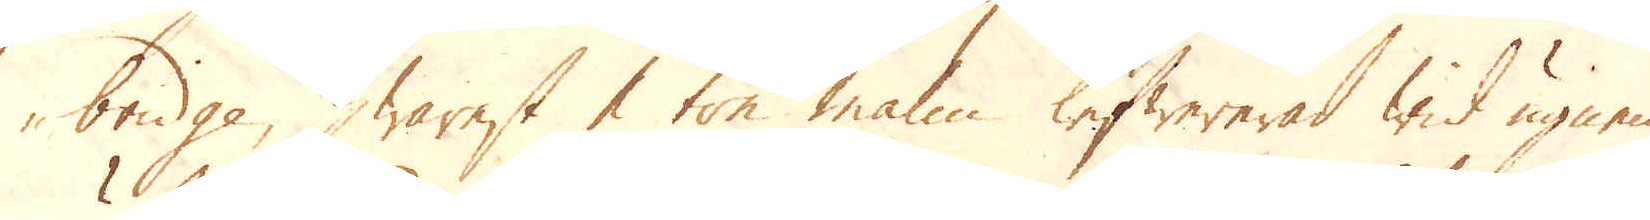bridge, hwarest 1 ton malm lefwererad wid ugnen
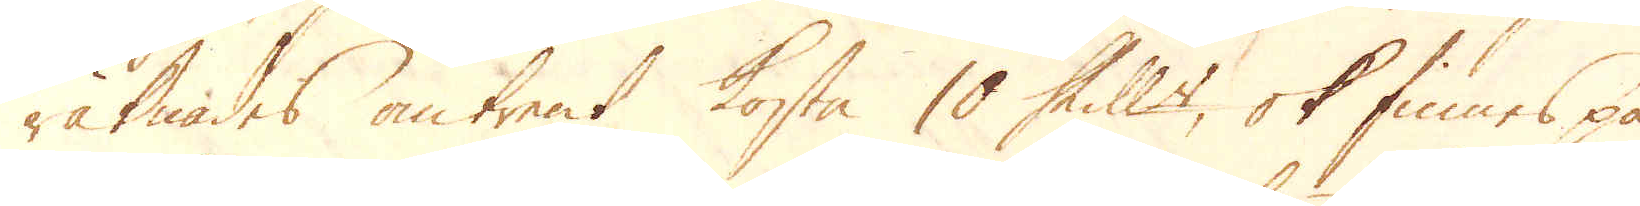räknades omtrent kosta 10 Skill:r, ok finnes på
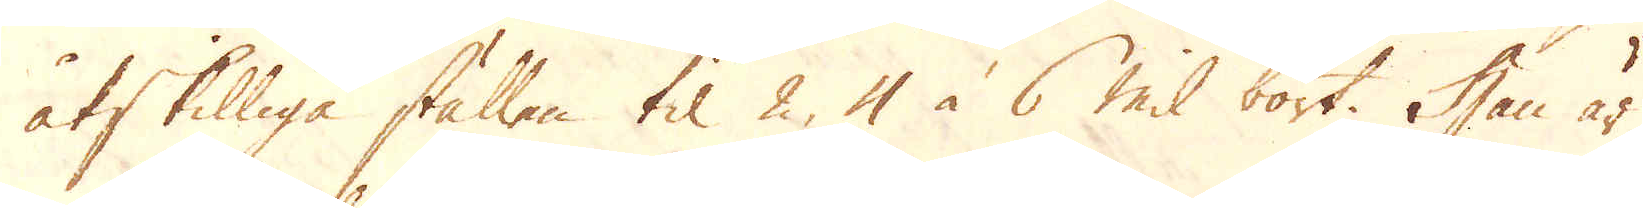åtskilliga ställen til 2, 4 à 6 mil bort. Han är
